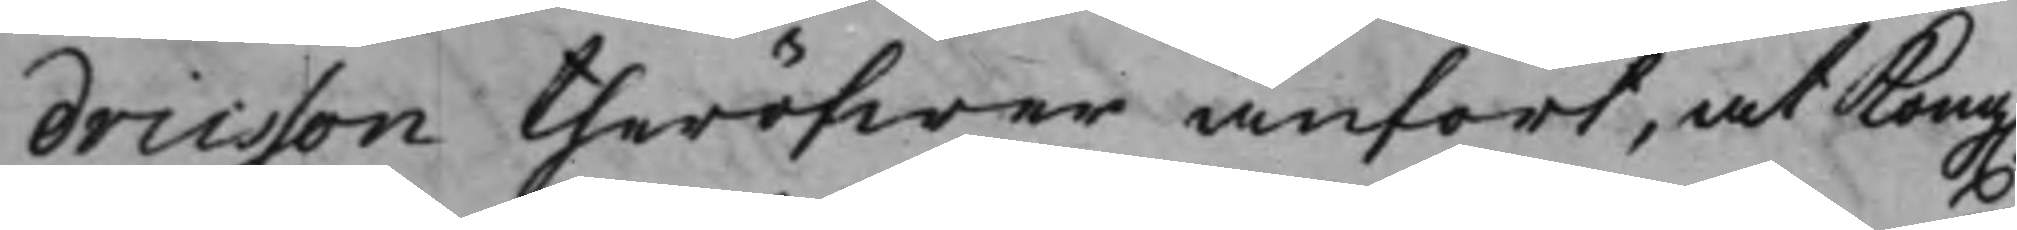dricsson theröfwer anfört, at Kong.
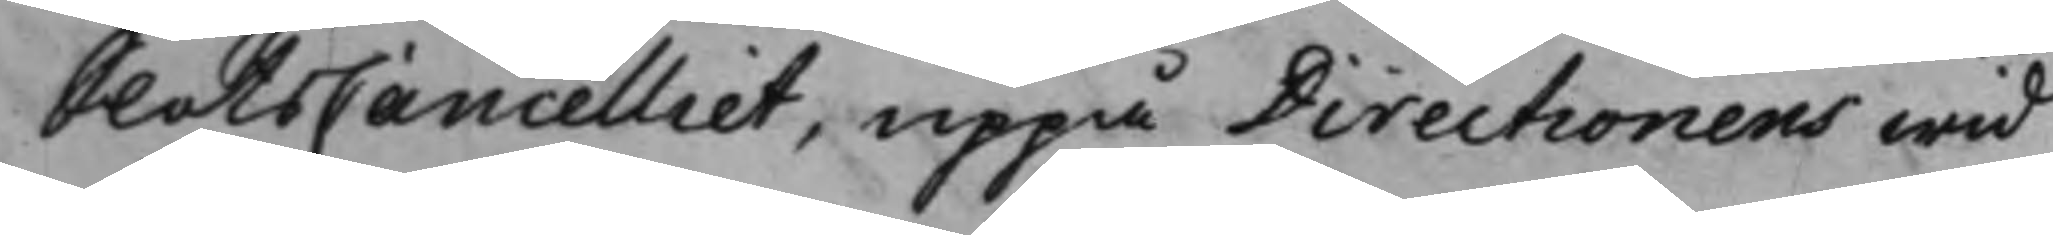SlotsCancelliet, uppå Directionens wid
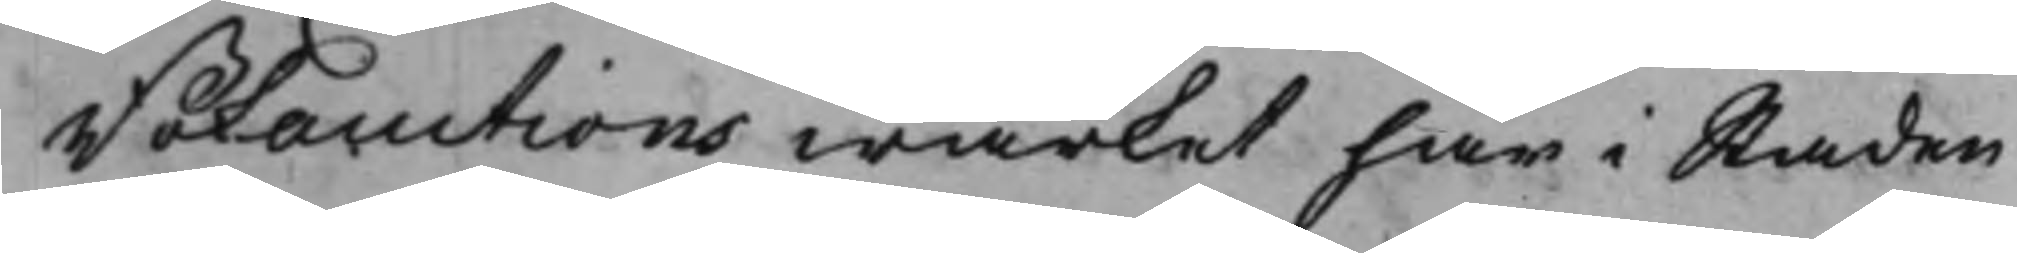Bokauctions wärket här i Staden
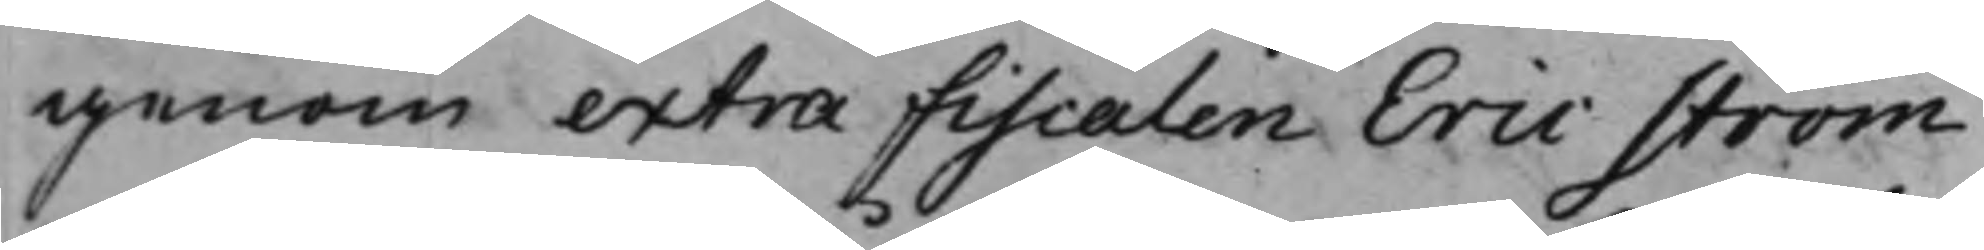genom extra Fiscalen Eric Ström
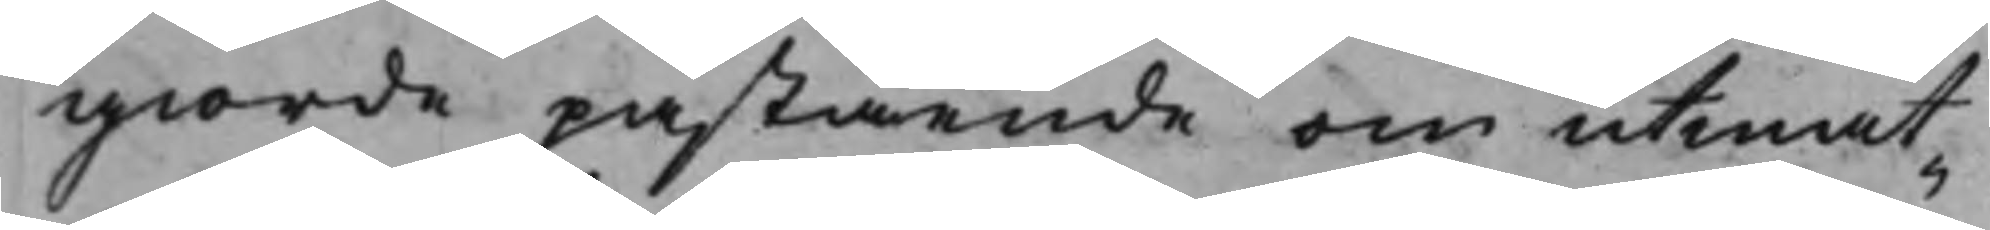giorde påstående om utmät¬
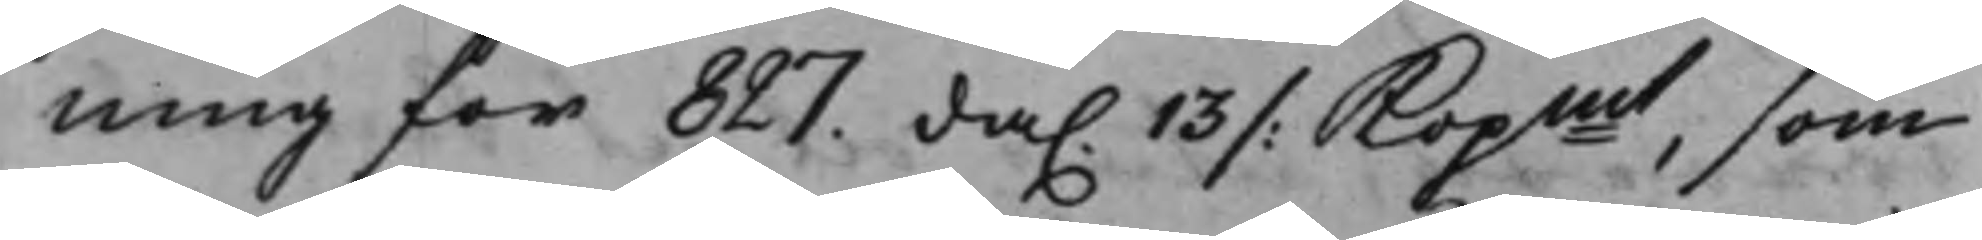ning för 827. da. 13 /: Kopmt, som
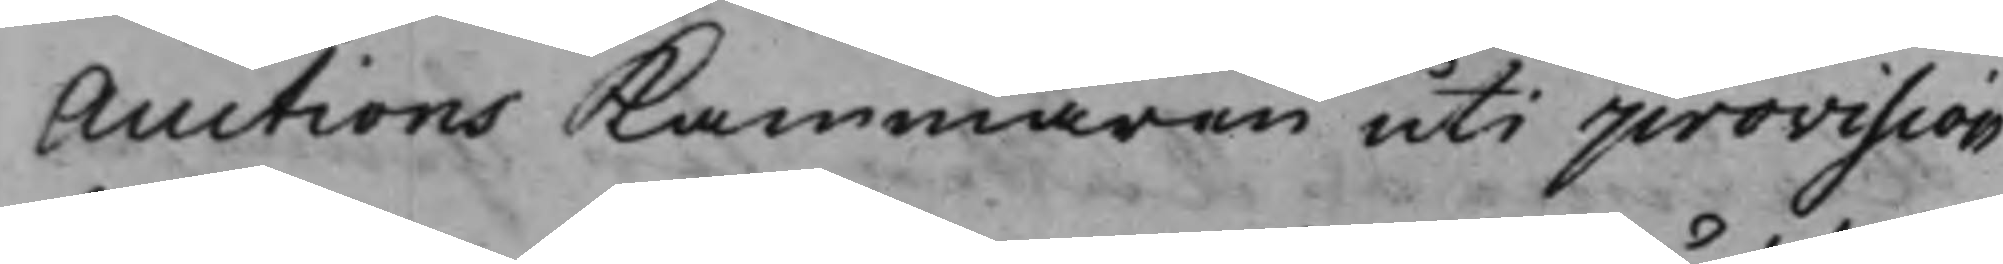Auctions Kammaren uti provision
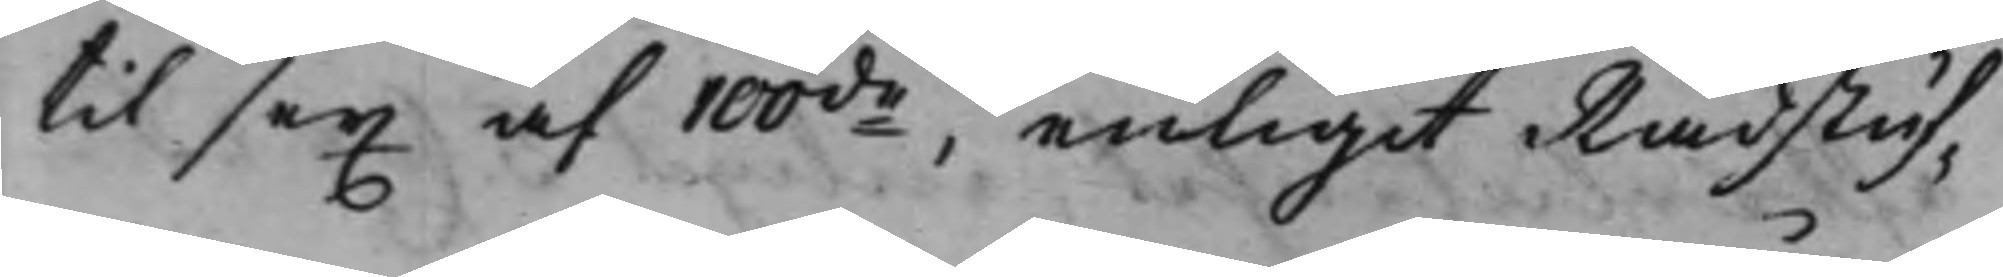til sex af 100de enligit Rådstuf¬
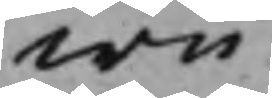wu¬
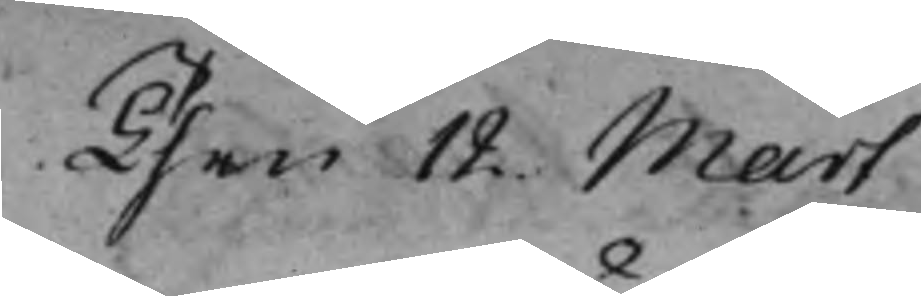Then 12. Mart
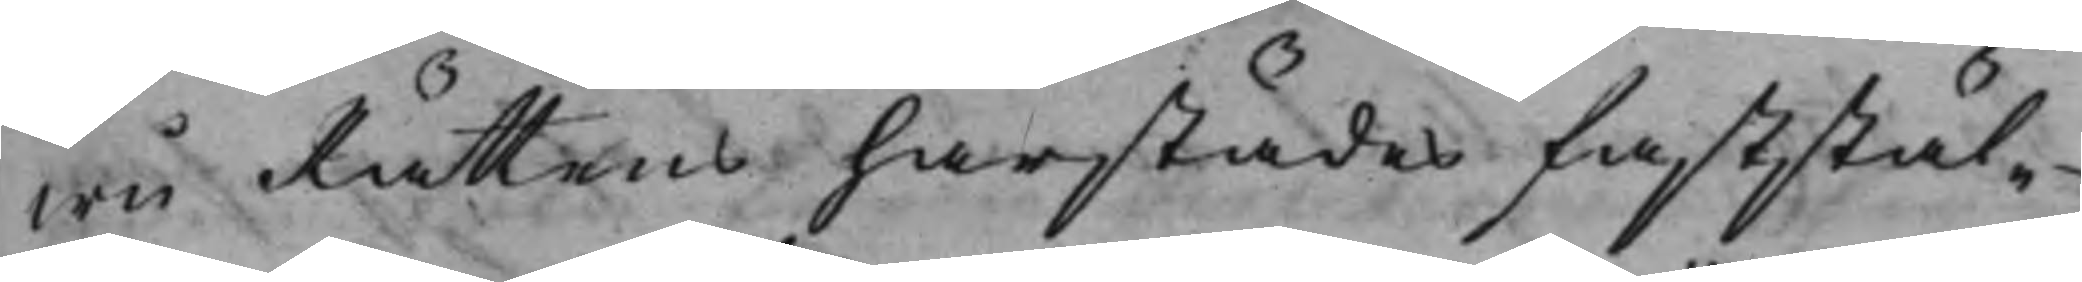wu Rättens härstädes faststäl¬
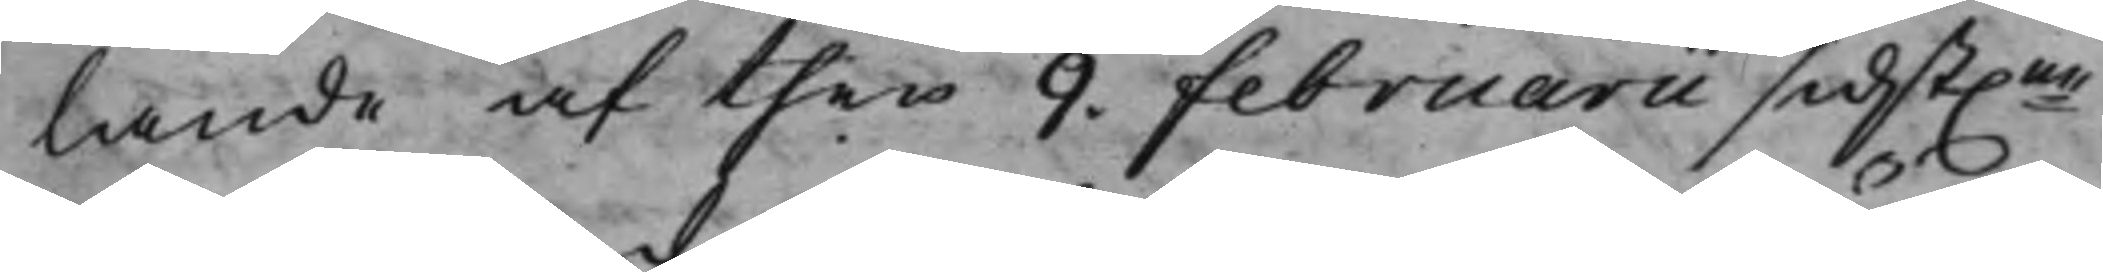lande af then 9. Februarii sidst.ne
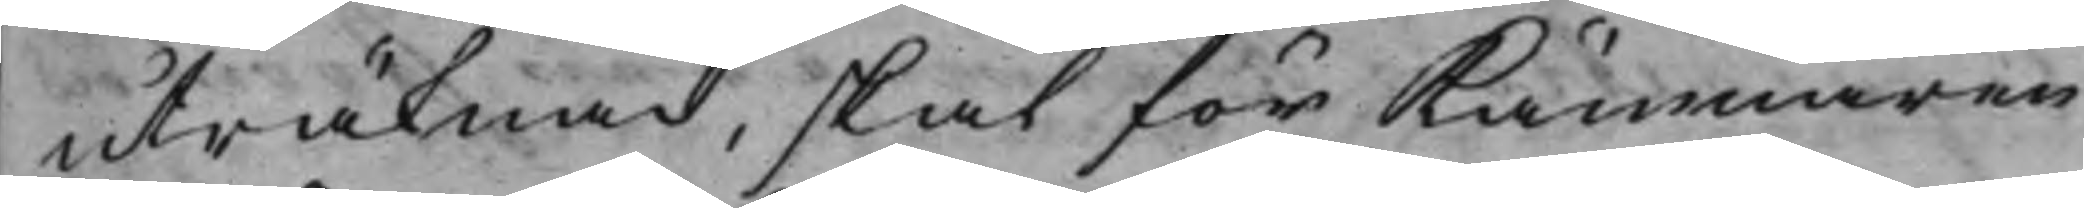uträknad, skal för Kämnären
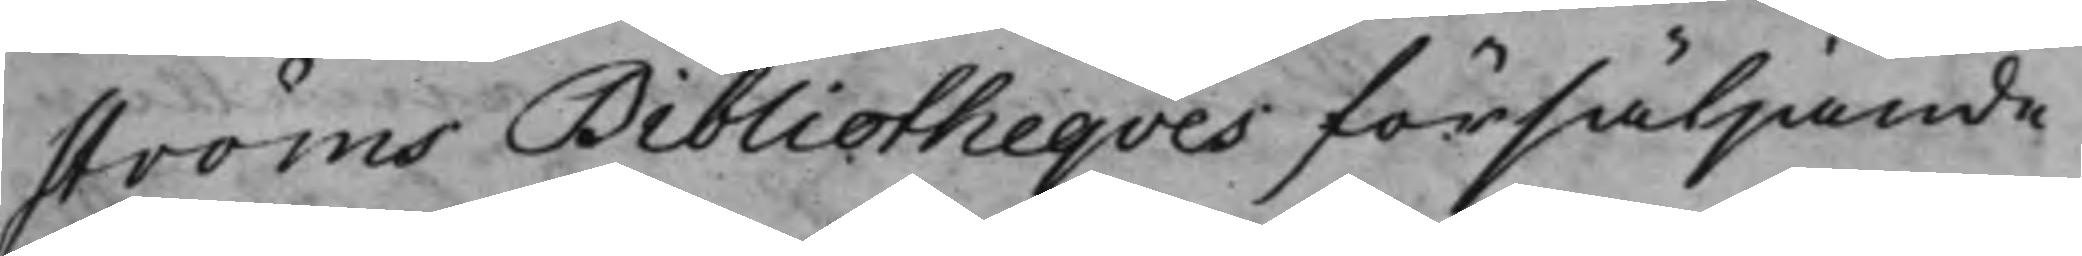Ströms Bibliotheqves försäljande
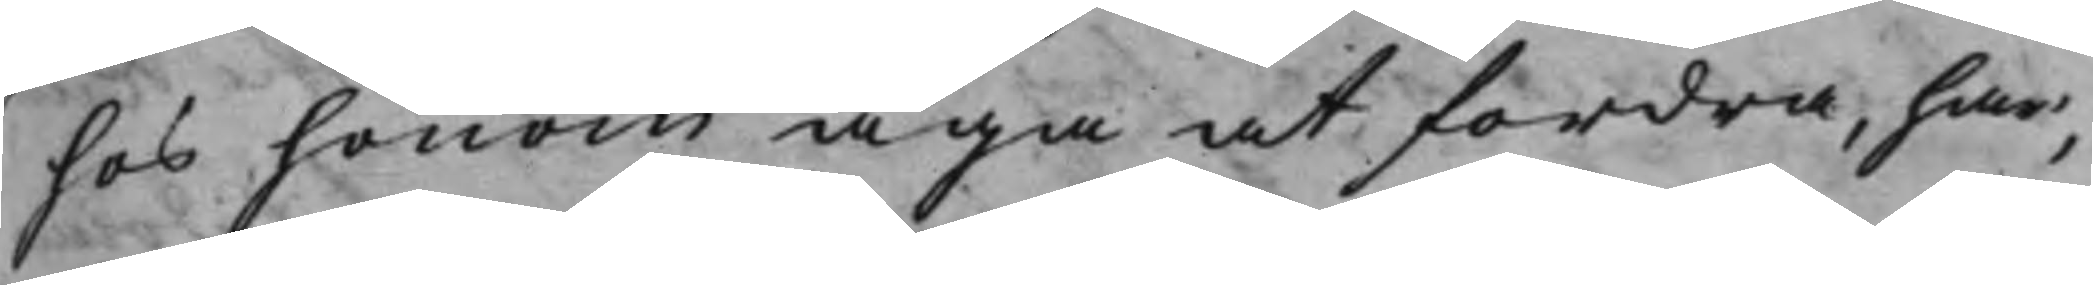hos honom äga at fordra, har,
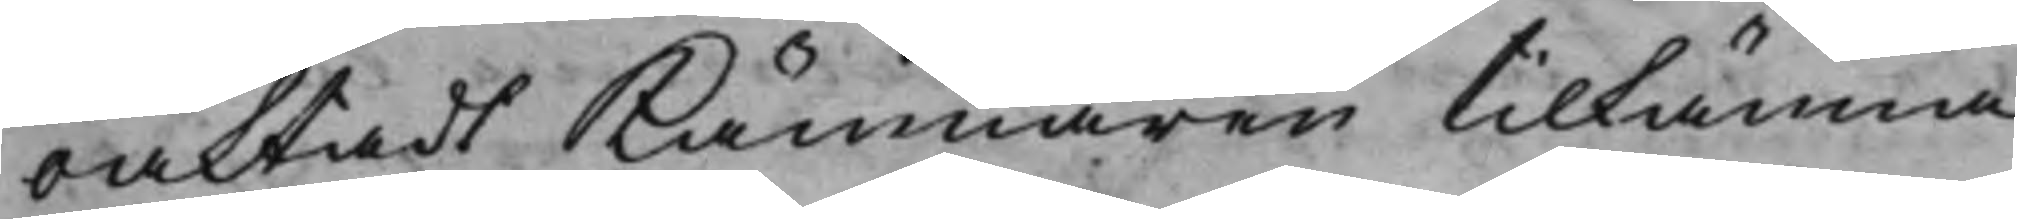oaktadt Kämnären tilkänna
